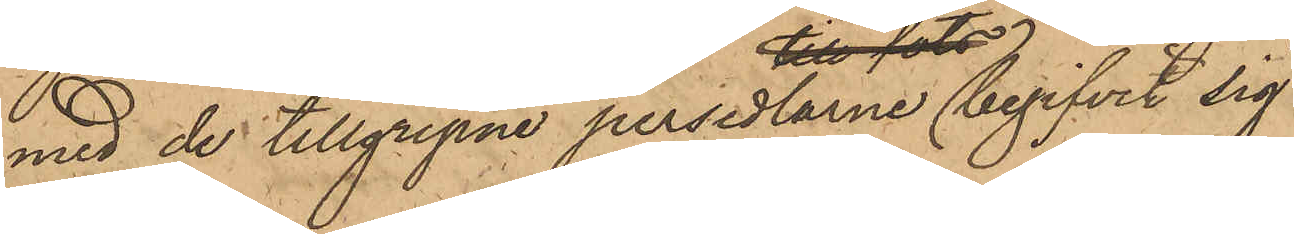med de tillgripne persedlarne begifvit sig
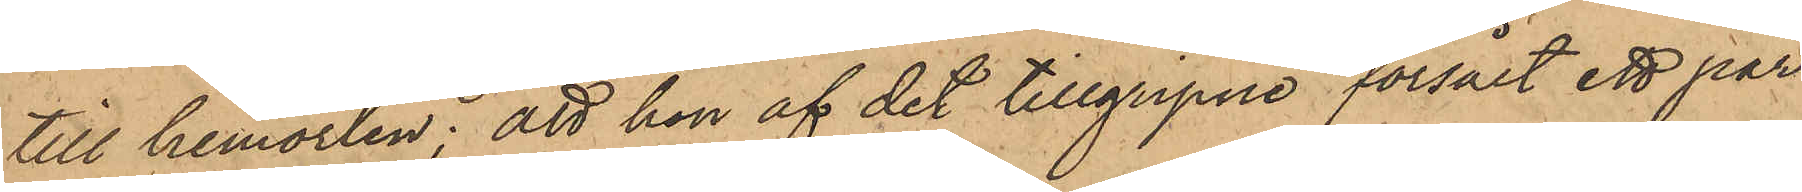till hemorten; att hon af det tillgripne försålt ett par
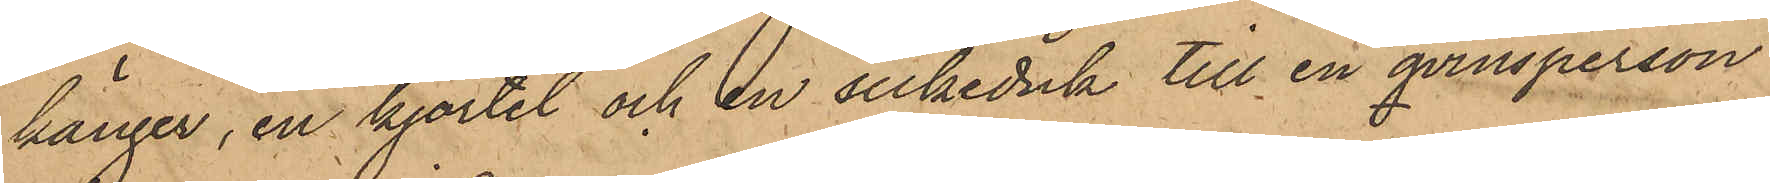känger, en kjortel och en silkeduk till en qvinsperson
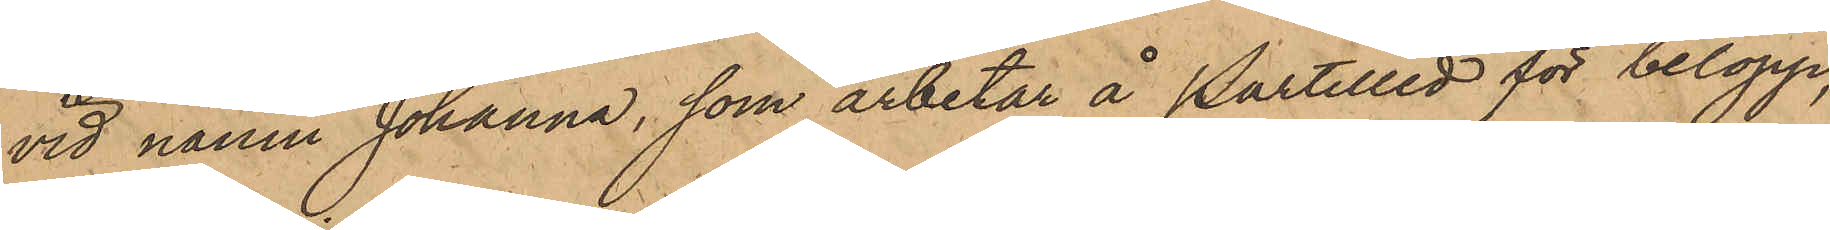vid namn Johanna, som arbetar å Partilled för belopp,
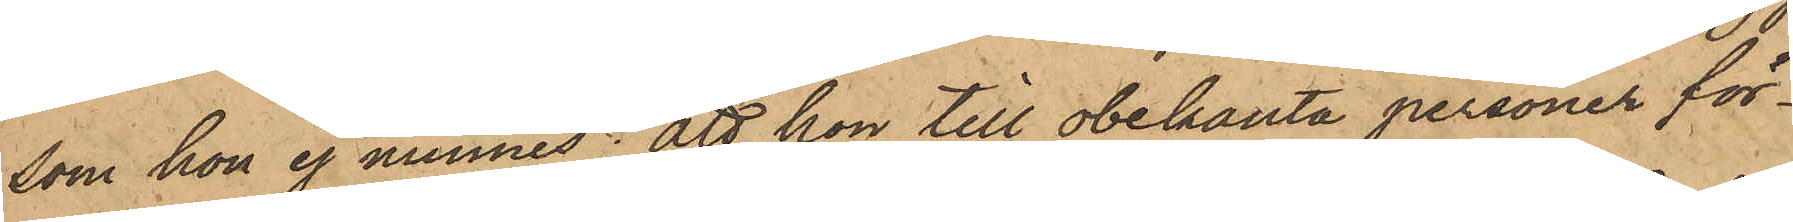som hon ej minnes; att hon till obekanta personer för¬
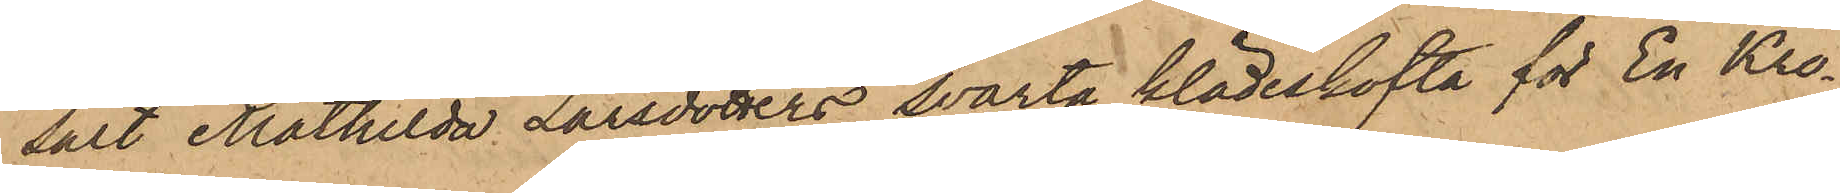sålt Mathilda Larsdotters svarta klädeskofta för En Kro¬
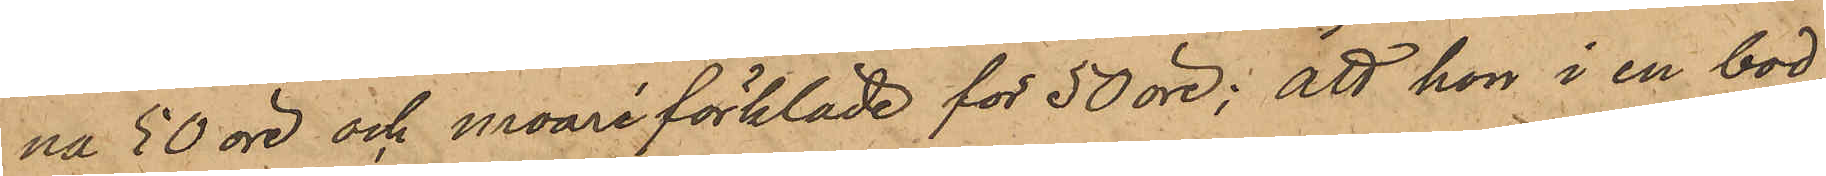na 50 öre och moaréförkläde för 50 öre; att hon i en bod,
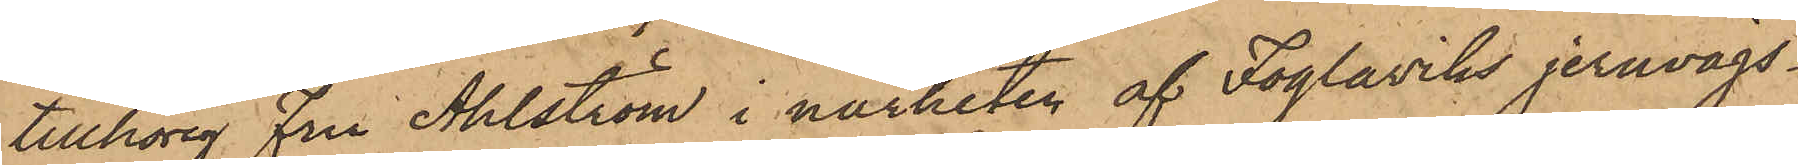tillhörig Fru Ahlström i närheten af Foglaviks jernvägs¬
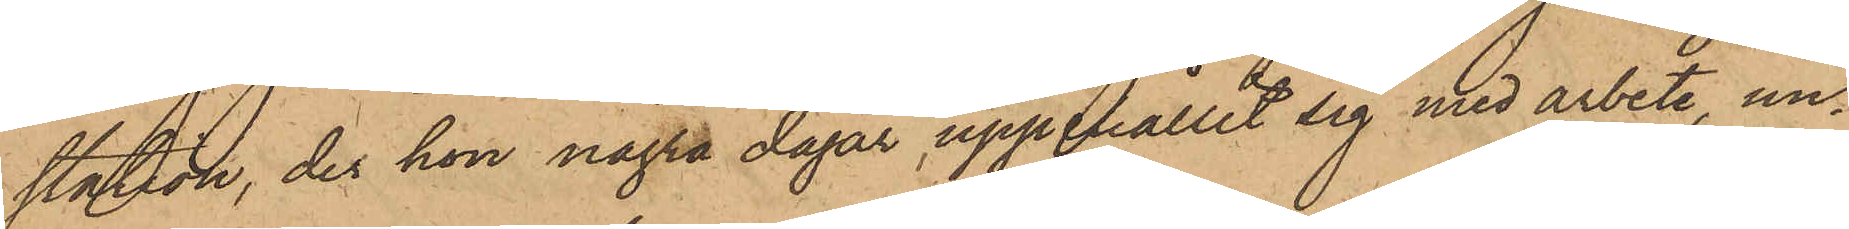station, der hon några dagar uppehållit sig med arbete, un¬
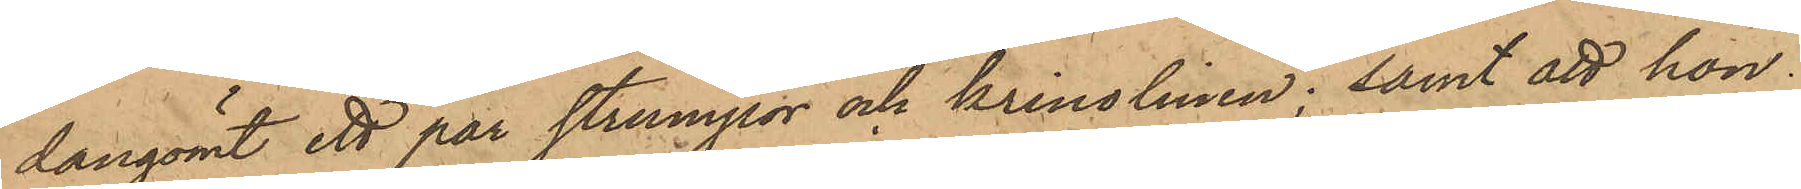dangömt ett par strumpor och krinolinen; samt att hon
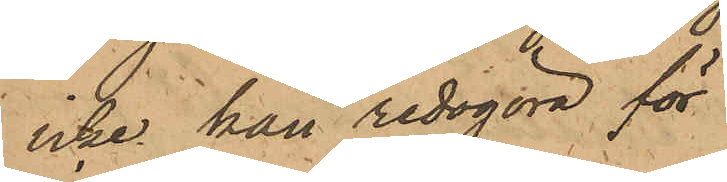icke kan redogöra för
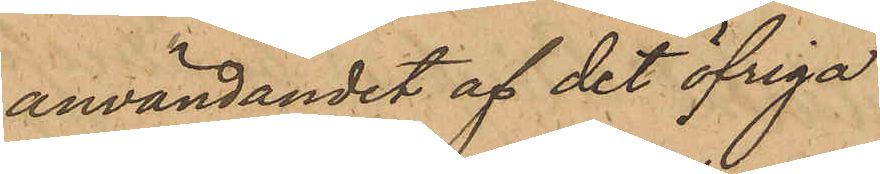användandet af det öfriga
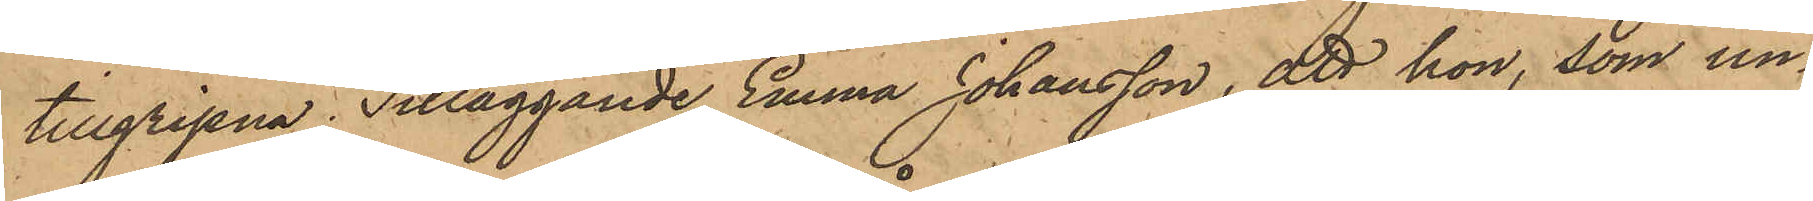tillgripna; Tilläggande Emma Johansson, att hon, som un¬
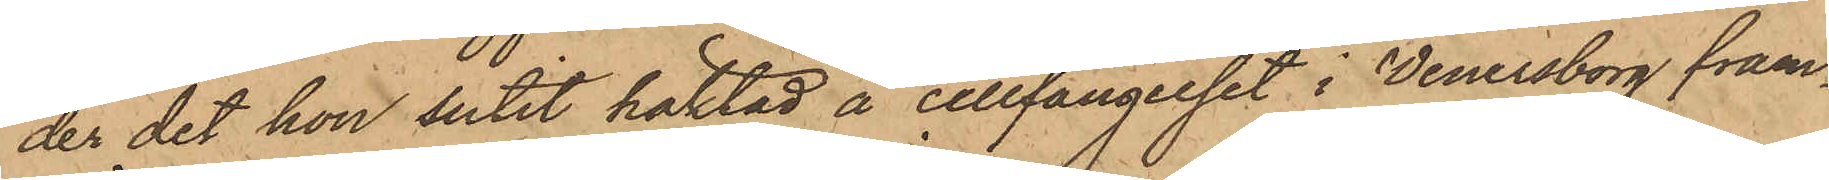der det hon sutit häktad å cellfängelset i Wenersborg fram¬
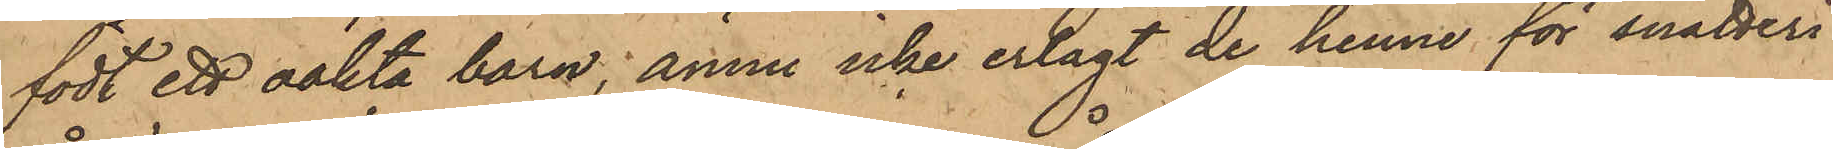födt ett oäkta barn, ännu icke erlagt de henne för snatteri
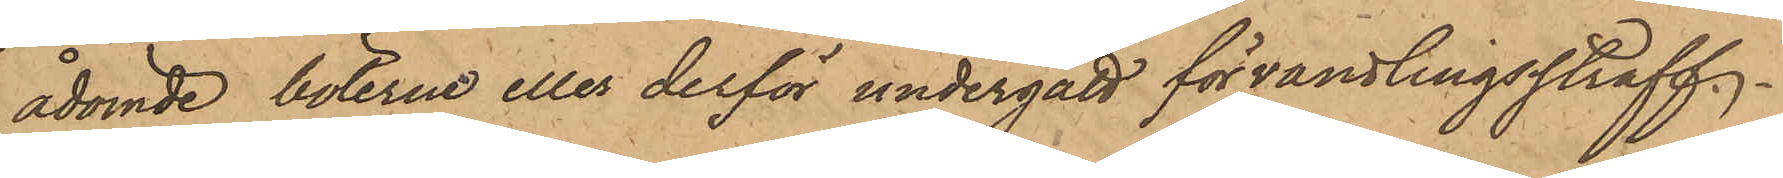ådömde böterne eller derför undergått förvandlingsstraff.
